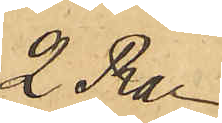2 Rdr
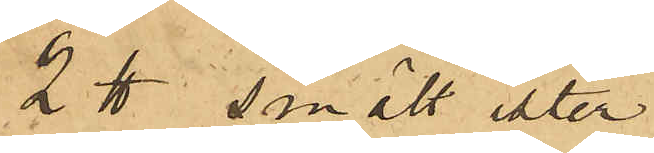2 ℔ smält ister
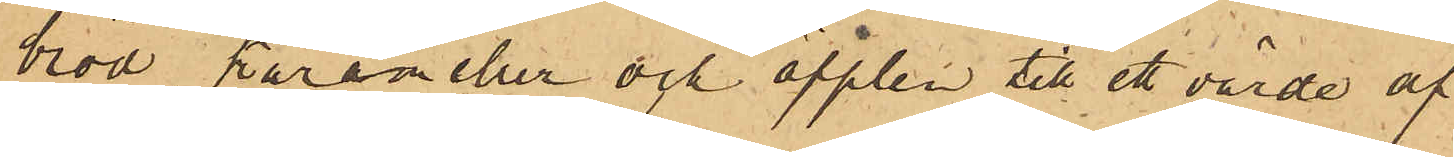bröd, karameller och äpplen till ett värde af
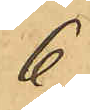6
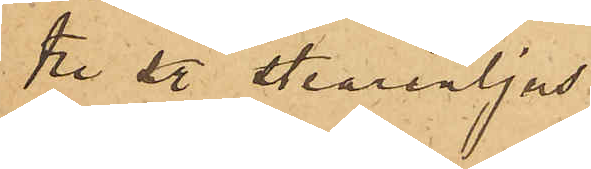tre st stearinljus
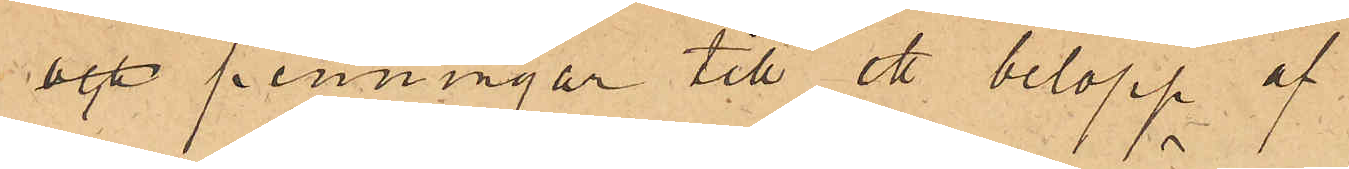och penningar till ett belopp af¬
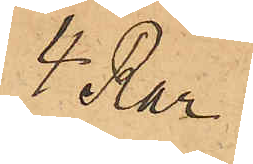4 Rdr
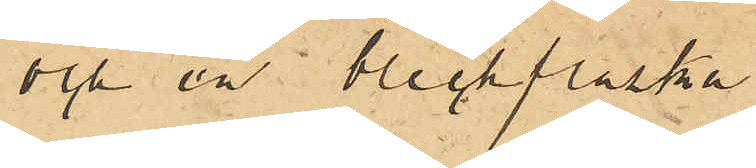och en bleckflaska
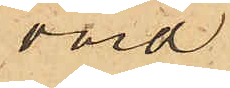värd
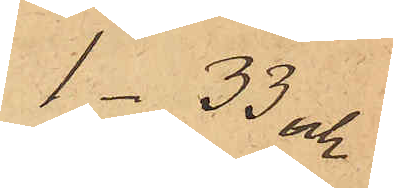1.33 och
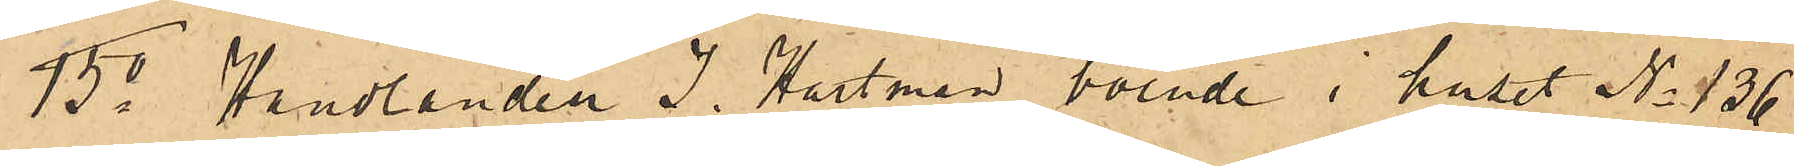15o Handlanden J. Hartman boende i huset No 136
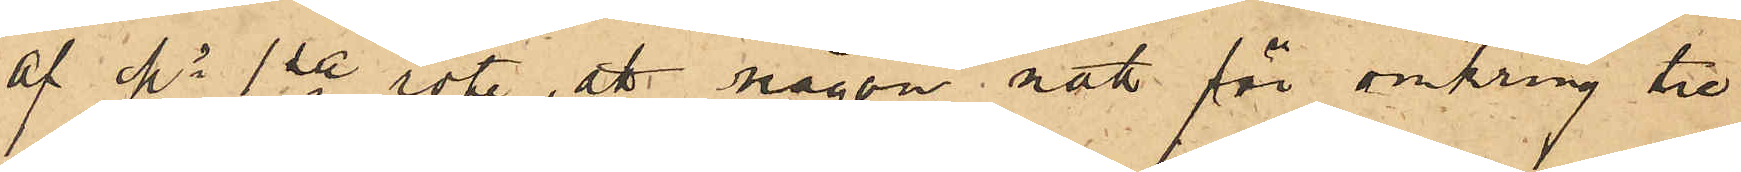af Ms 1ste rote, att någon natt för omkring tre
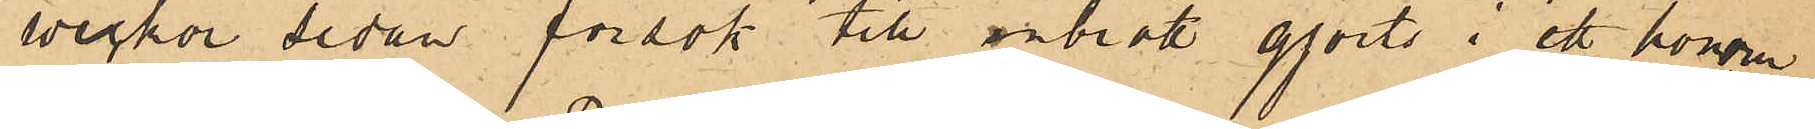veckor sedan försök till inbrott gjorts i ett honom
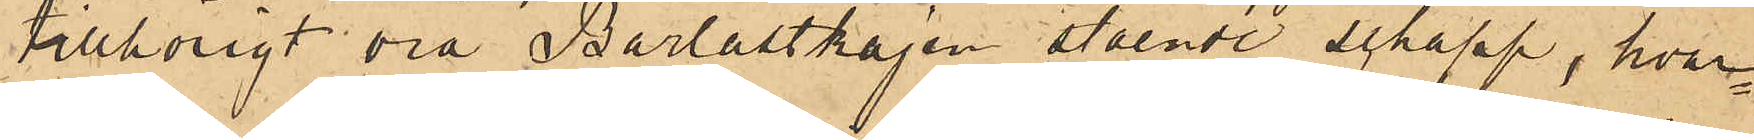tillhörigt vid Barlastkajen stående schapp, hvar¬
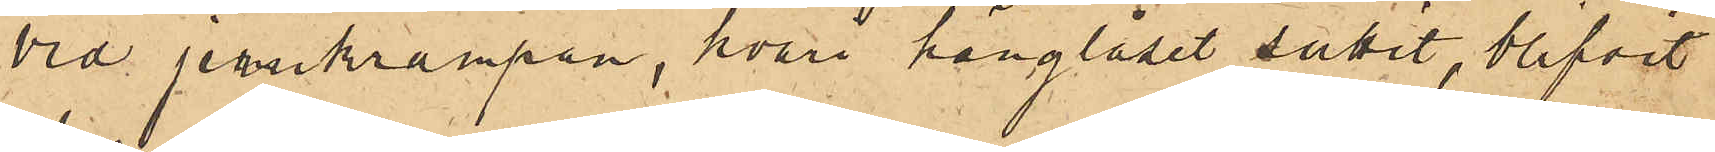vid jernkrampan, hvari hänglåset suttit, blifvit
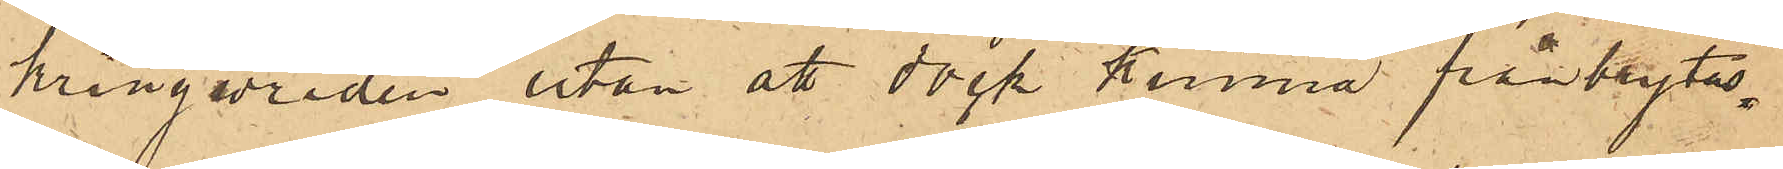kringvriden utan att dock kunna frånbrytas.
